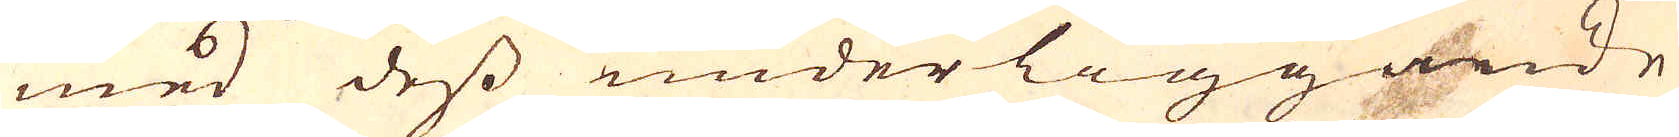med dess underliggande
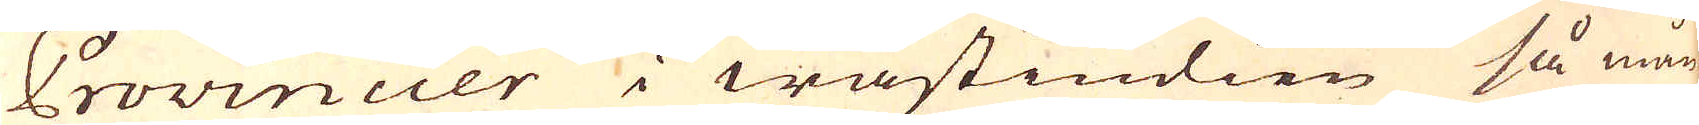Provincier i wästindien så mån-
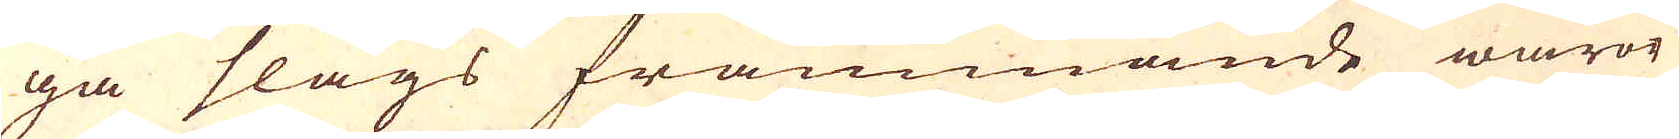ga slags främmande waror
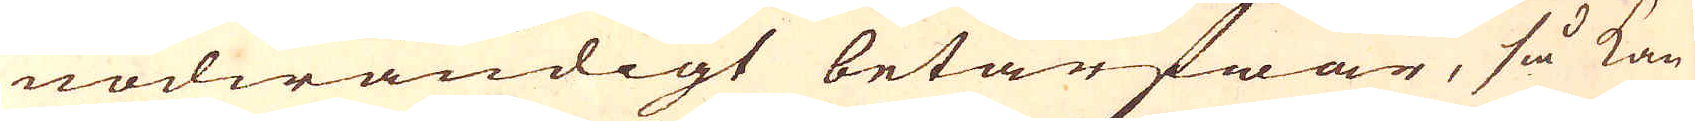nödwändigt betarfwar, så kan
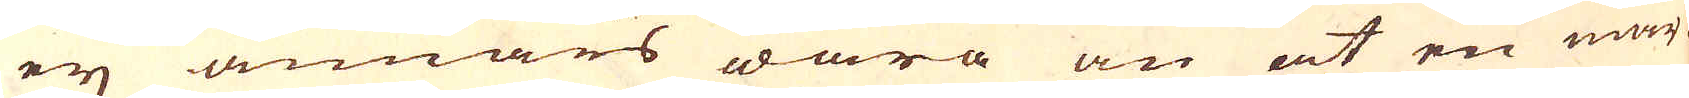eij annars wara än at en mär-
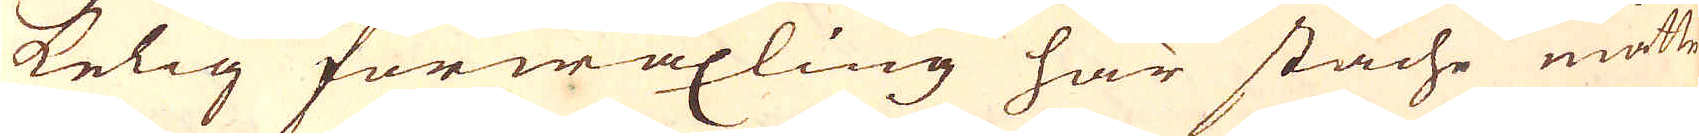kelig förwäxling här stäche måtte
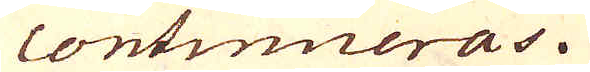continueras.
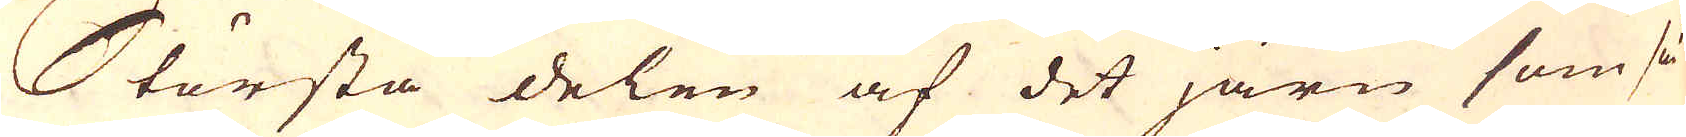Största delen af det järn som så-
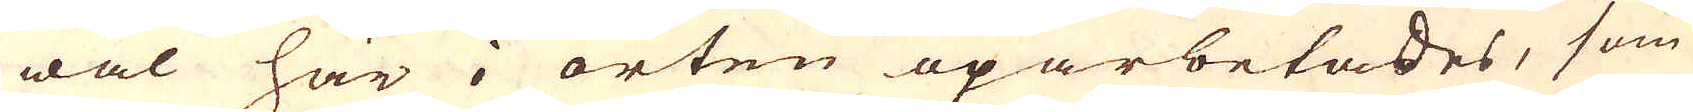wäl här i orten oparbetades, som
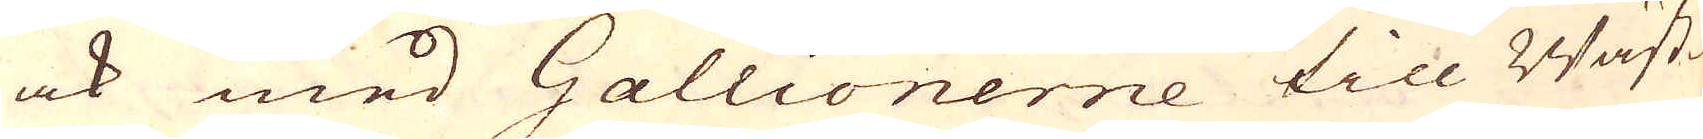ock med Gallionerne till Wäst-
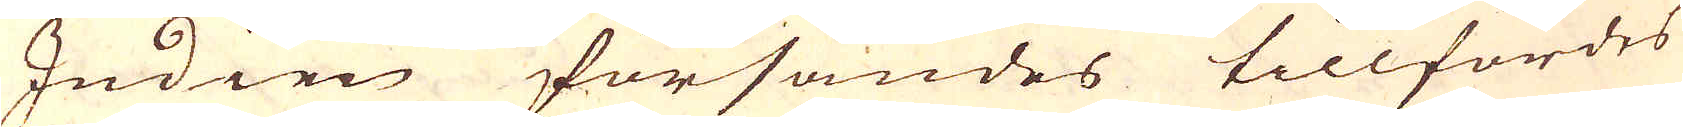Indien försändes tillfördes
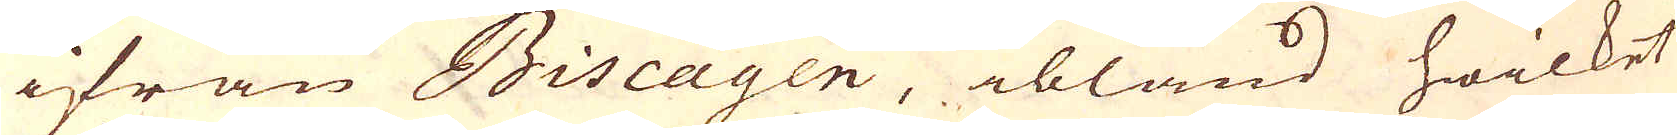ifrån Biscayen, ibland hwilket
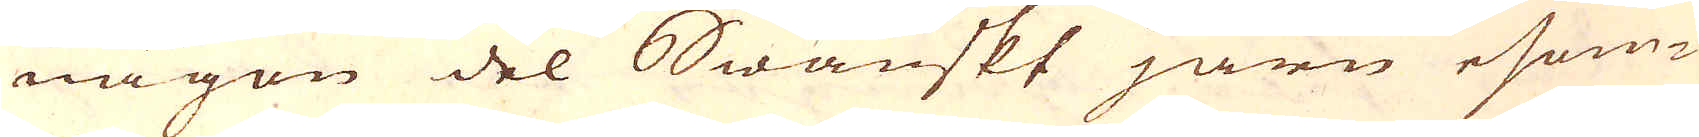någon del Swänskt järn esom-
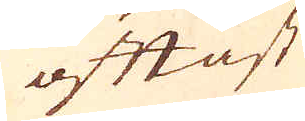oftast
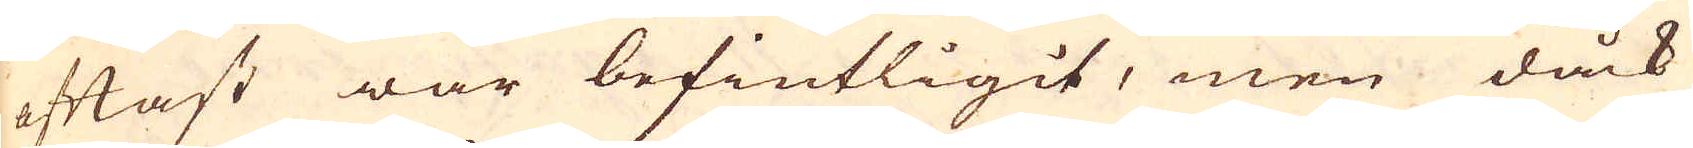oftast war befintligit, men dåck
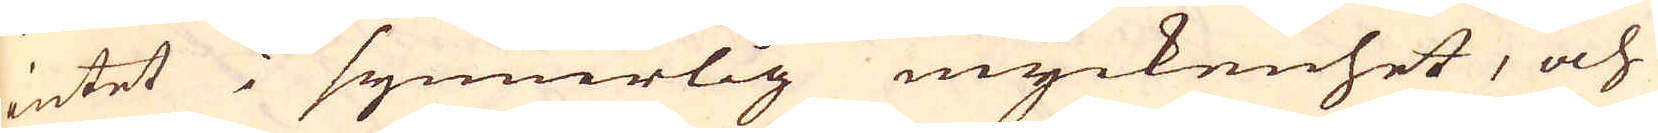intet i synnerlig myckenhet, och
